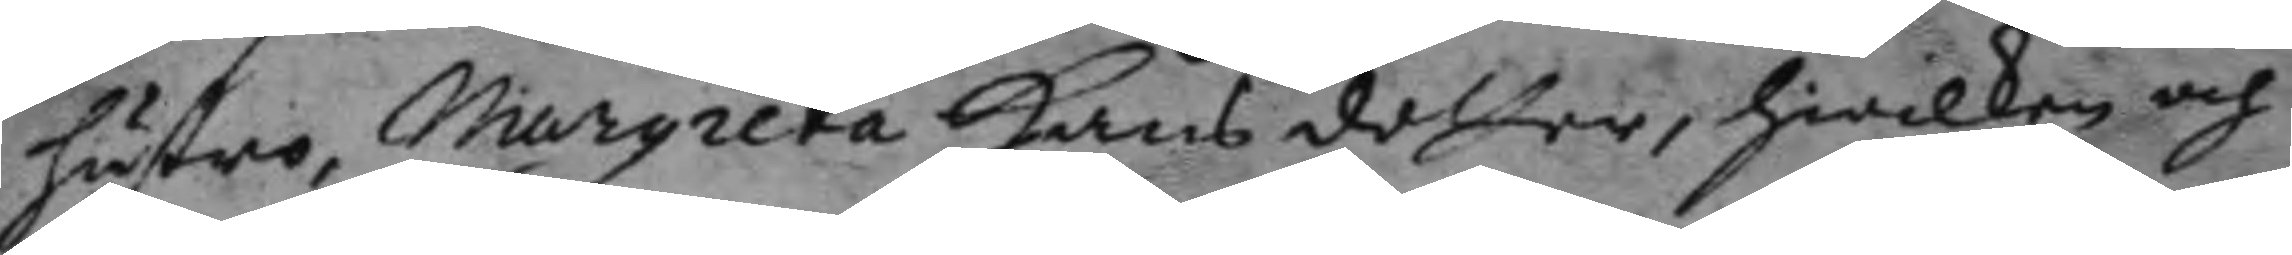hustro, margareta Hans dotter, hwilken och
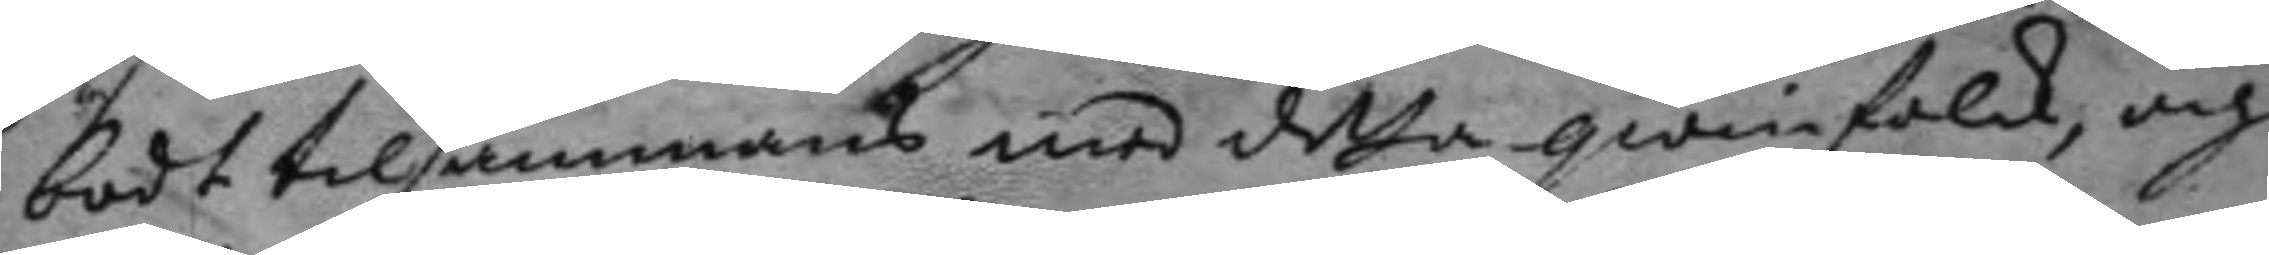bodt tilsammans med detta qwinfolck, och
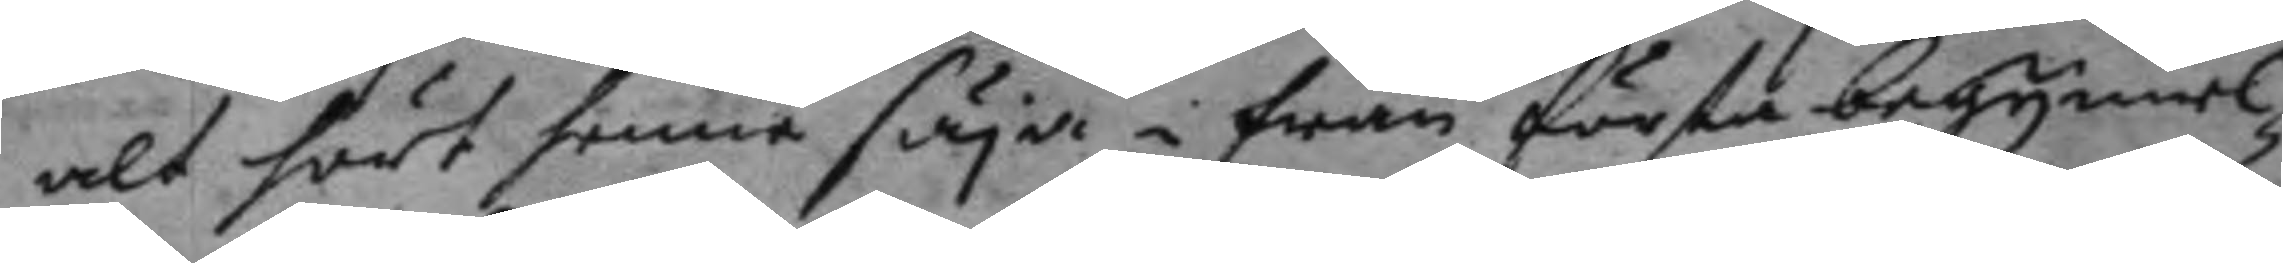alt hört henne säya i från första begynnel¬
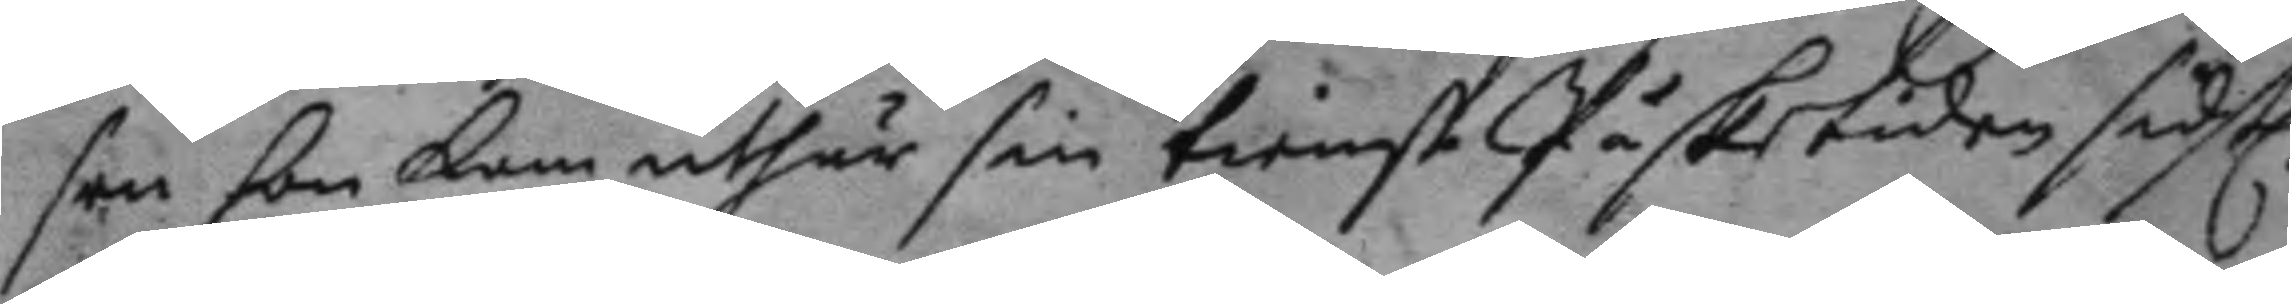sen hon kom uthur sin tienst Påsketiden sidstl.
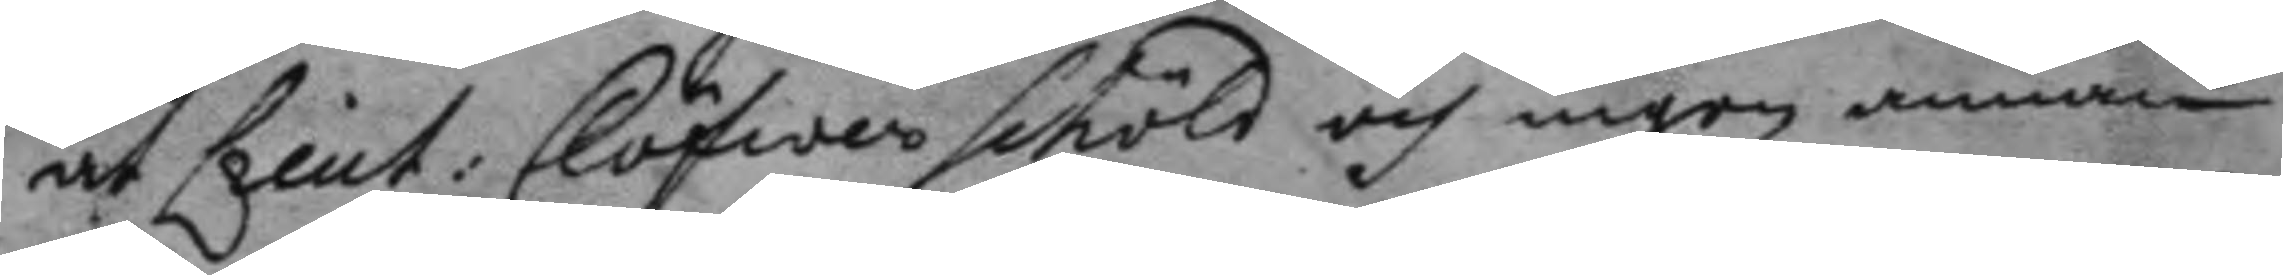at Lieut: Clöfwerschöld och ingen annan
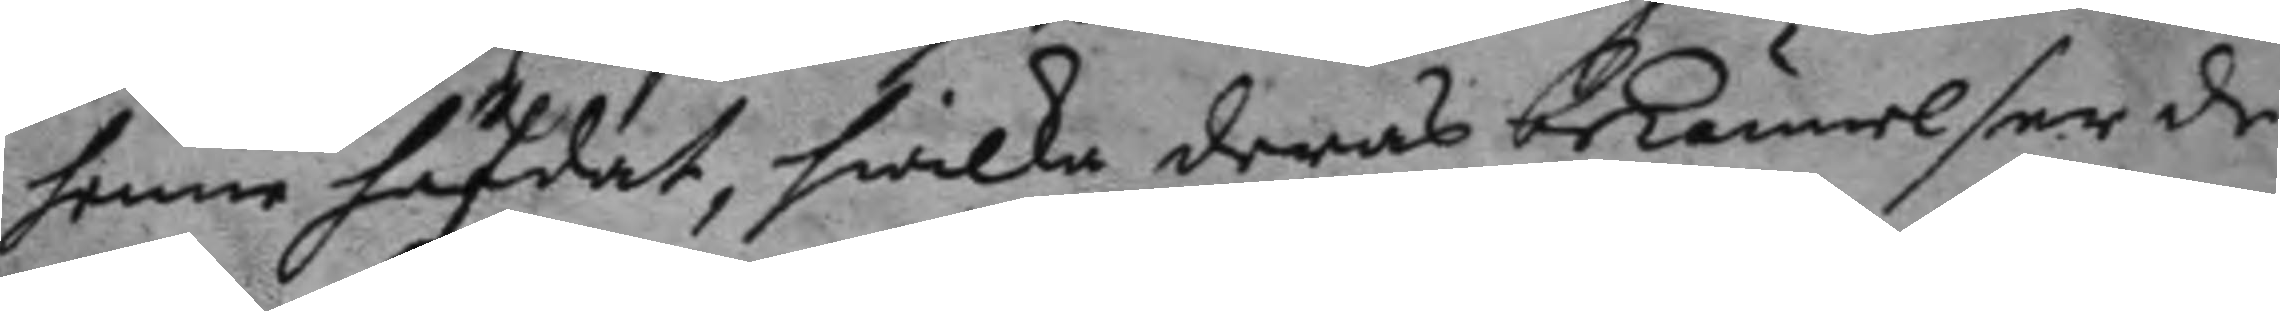henne hafdat, hwilka deras bekännelser de
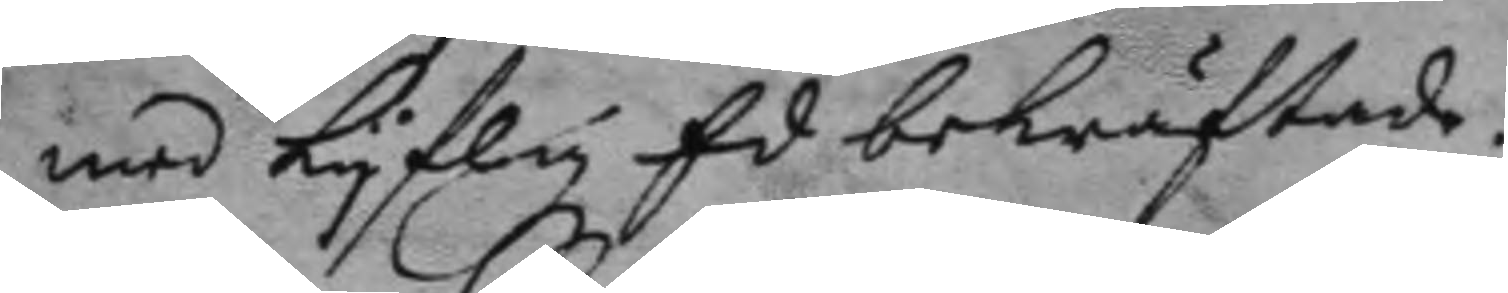med Lyflig Ed bekräftade.
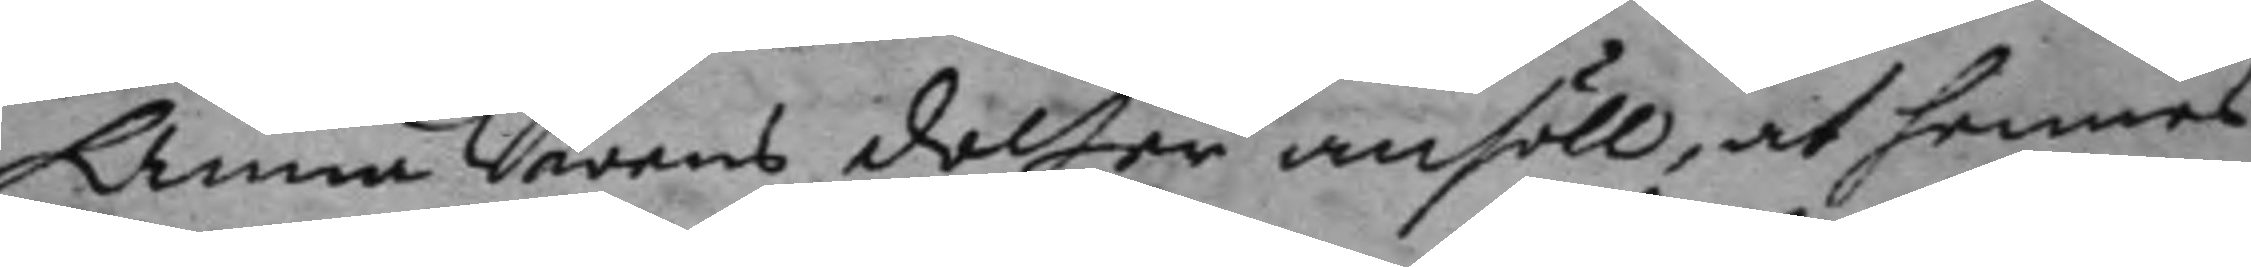Anna Swens dotter anhöll, at hennes
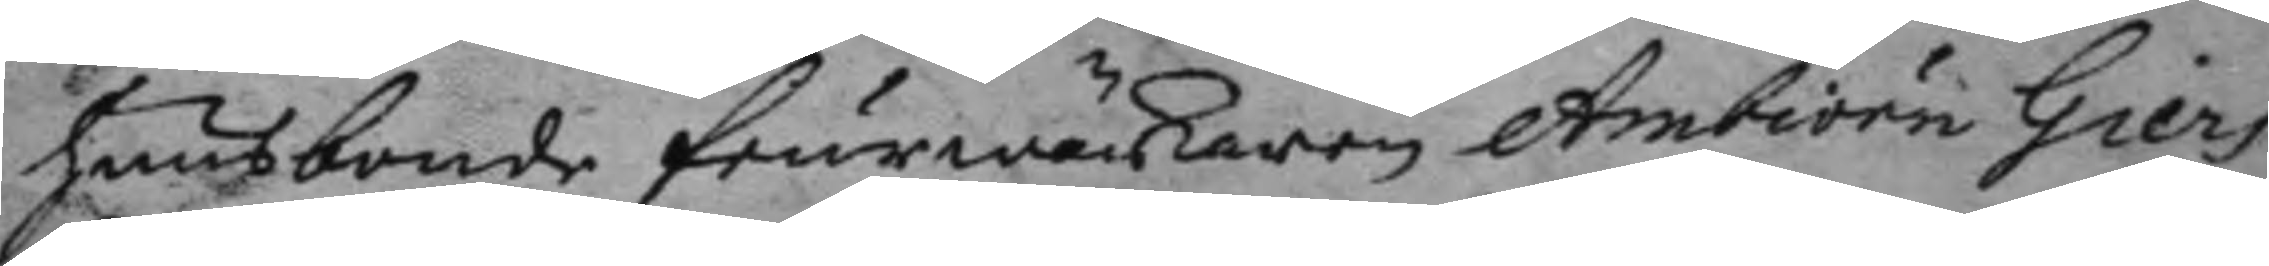huusbonde feurwärkaren Ambiörn Giers
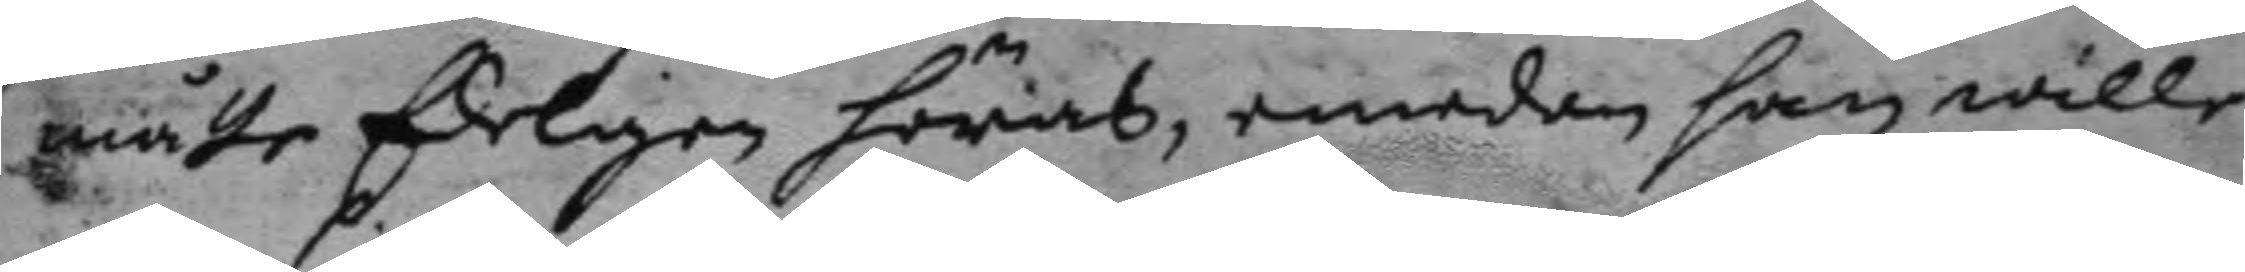måtte Edeligen höras, emedan han wille
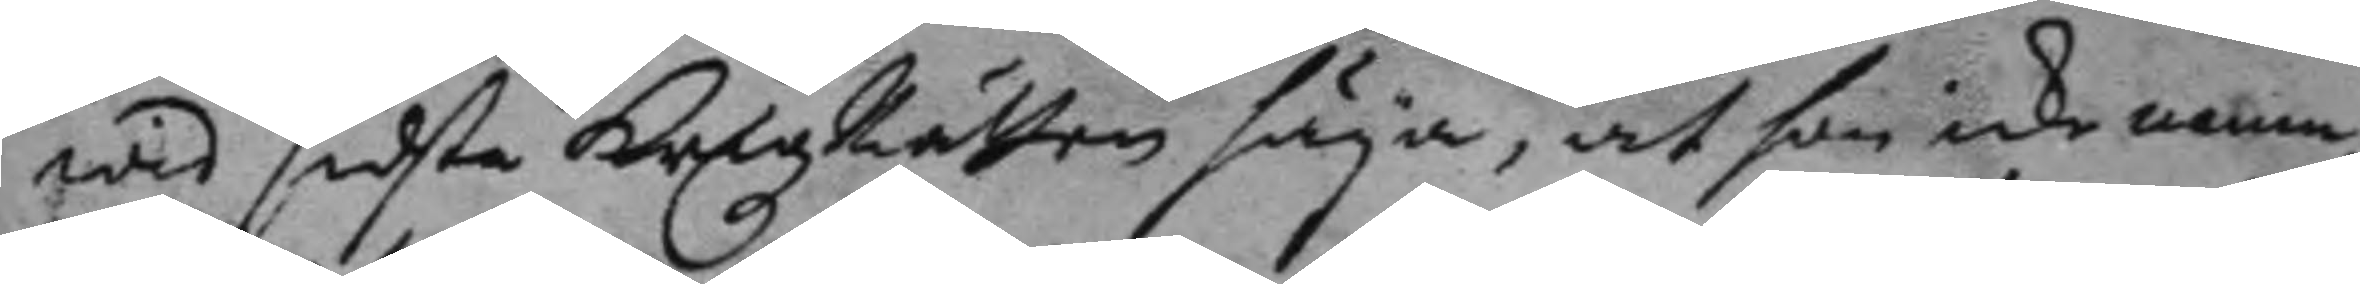wid sidsta Krigz Rätten säja, at hon icke namn¬
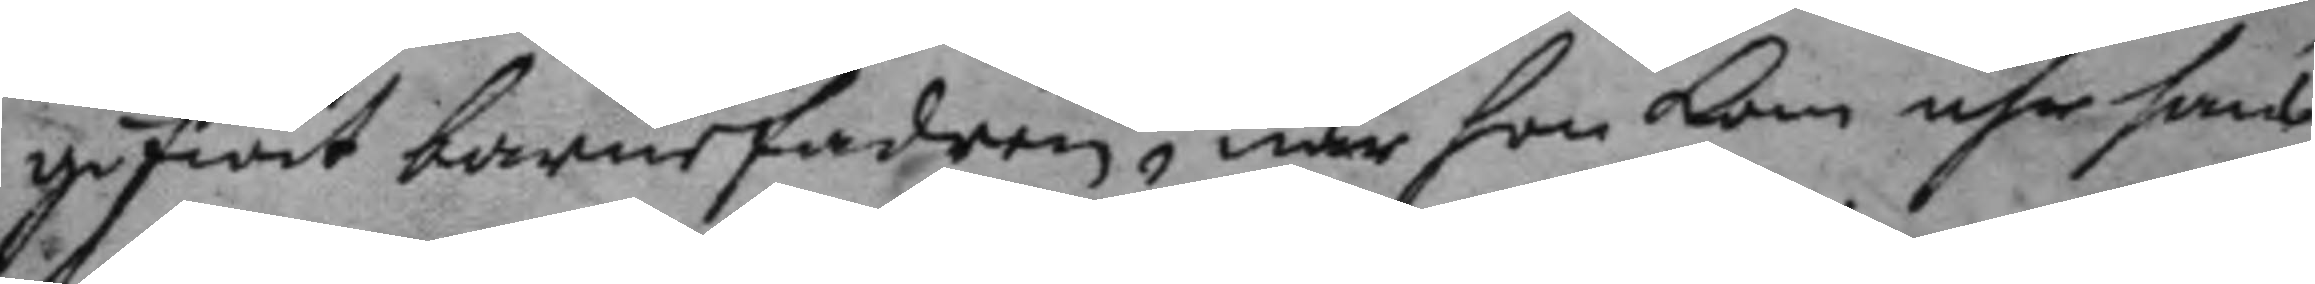gifwit barnefadren, när hon kom uhr hans
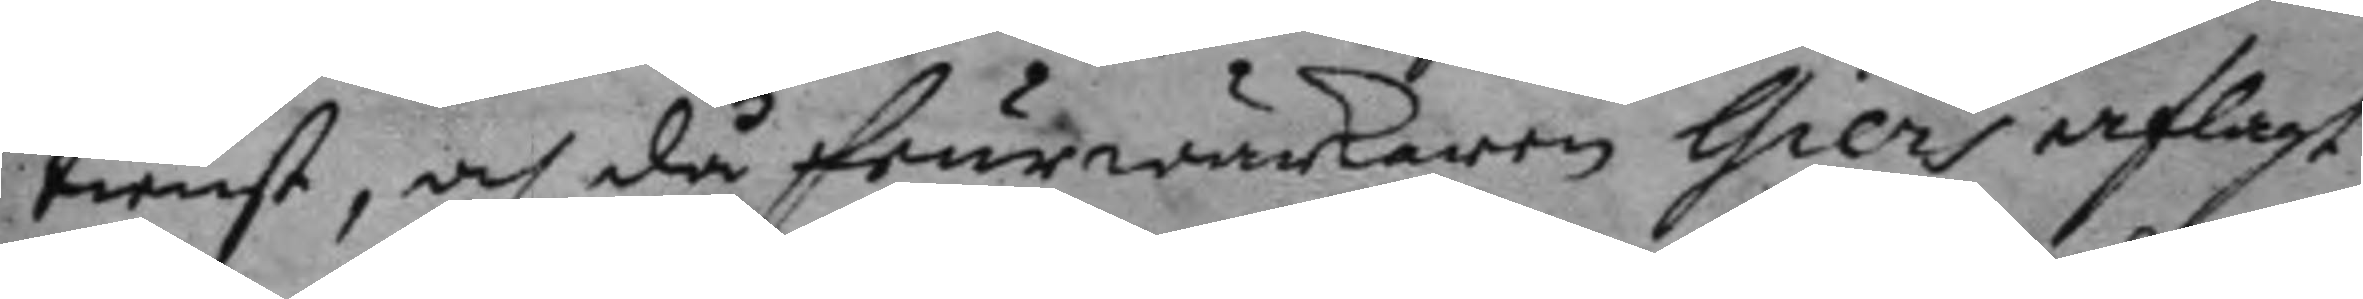tienst, och då feurwärkaren Giers aflagt
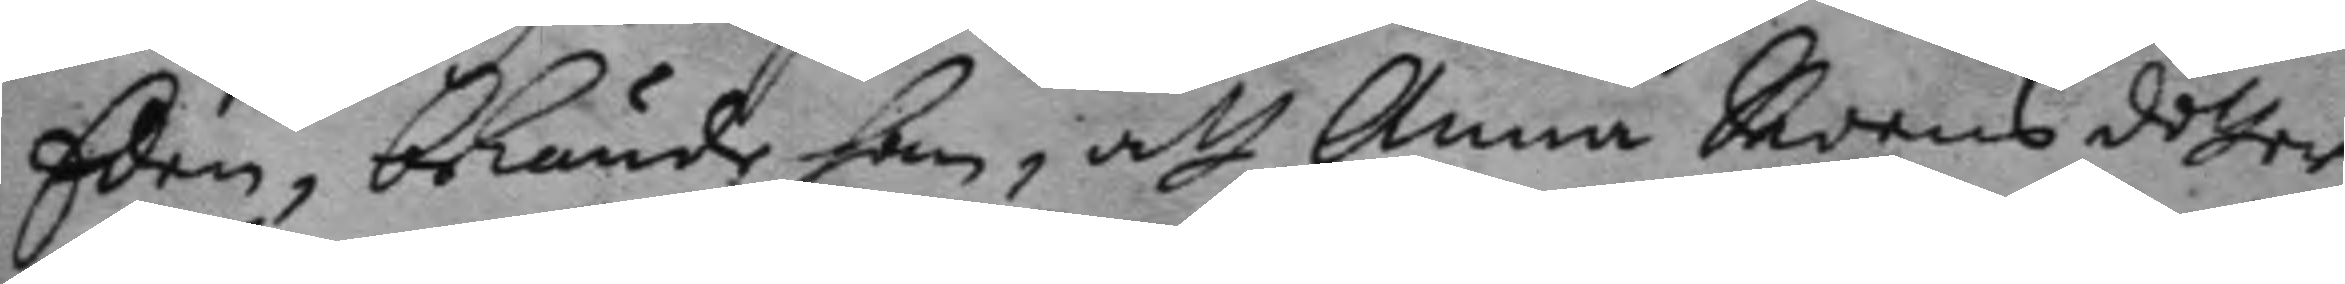Eden, bekände han, att Anna Swens dotter
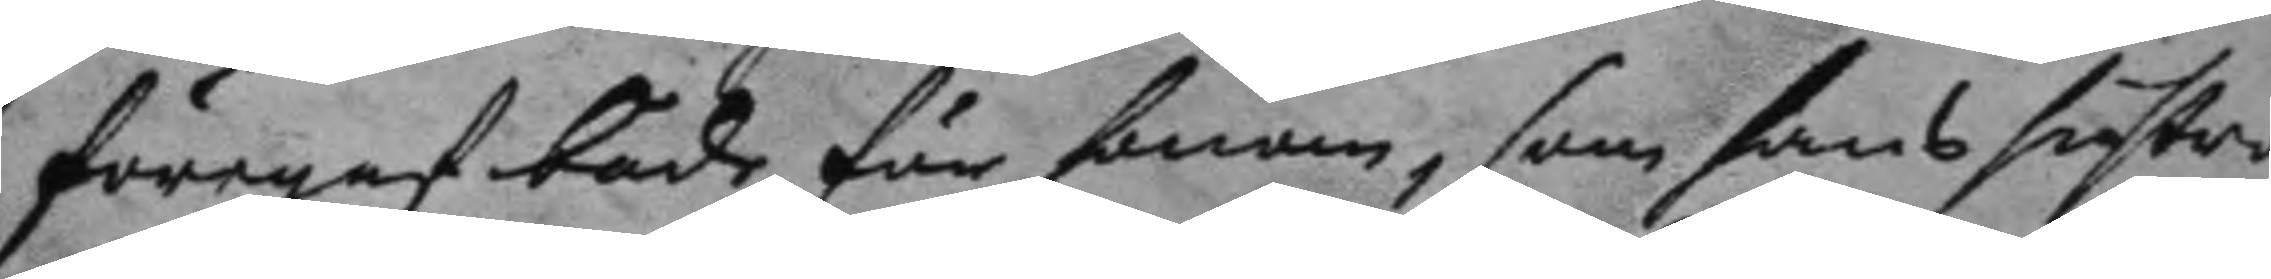föregaf både för honom, som hans hustro
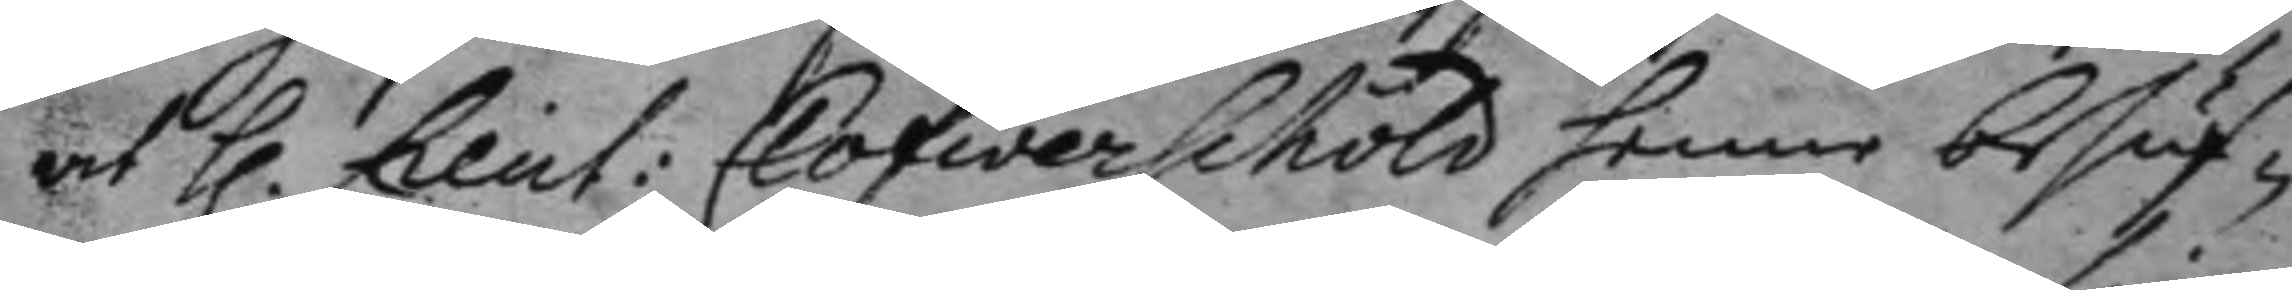at h. Lieut: Clöfwerschöld henne besuf¬ 
